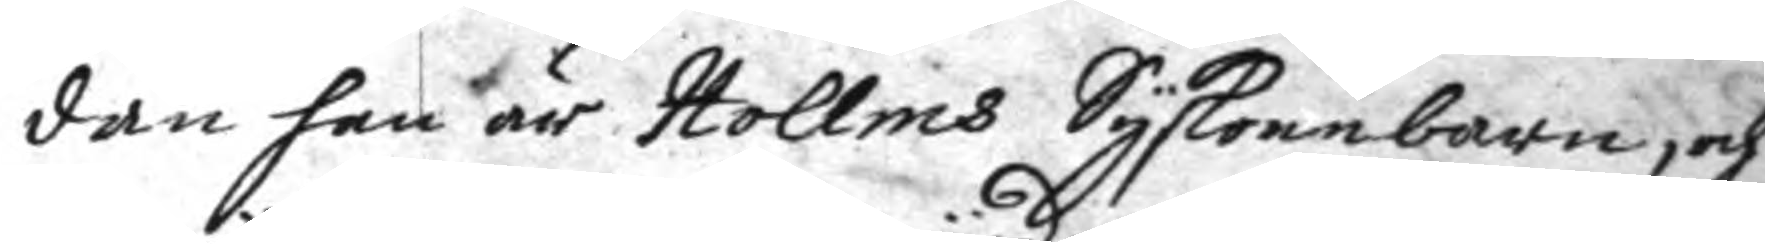dan han är Hollms Syskonbarn, och
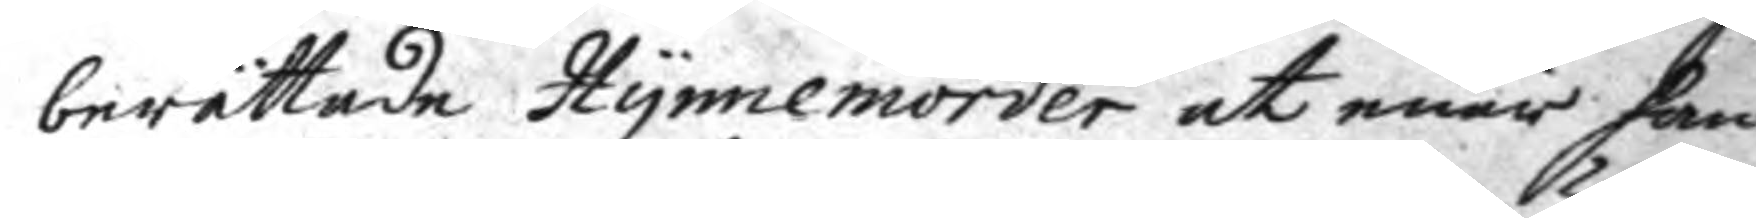berättade Hynnemörder at enär han
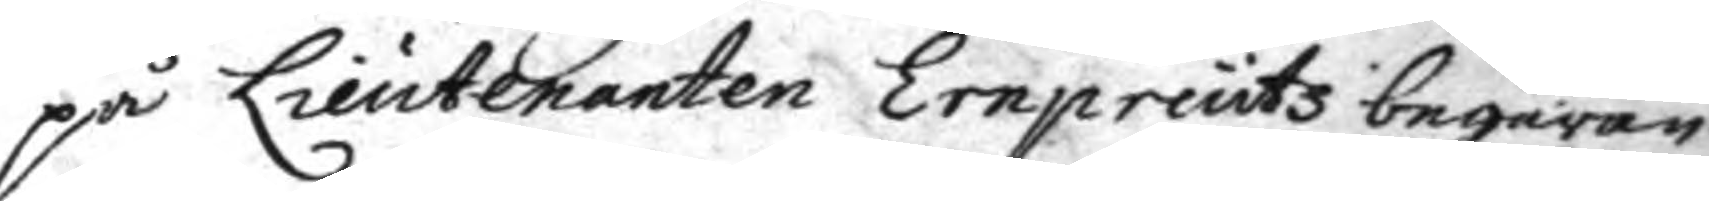på Lieutenanten Ernpreutz begäran
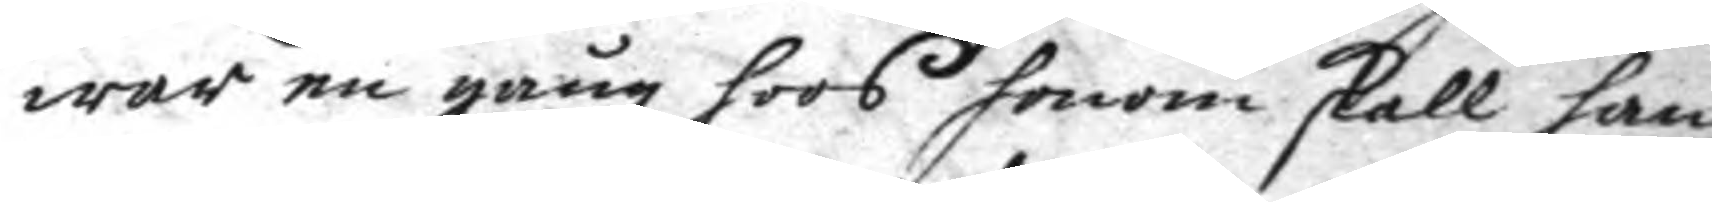war en gång hoos honom skall han
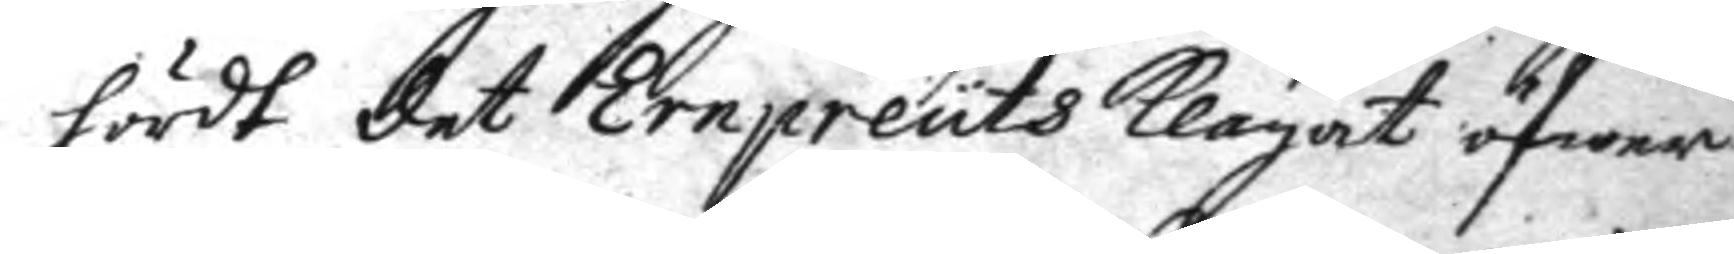hördt det Ernpreuts klagat öfwer
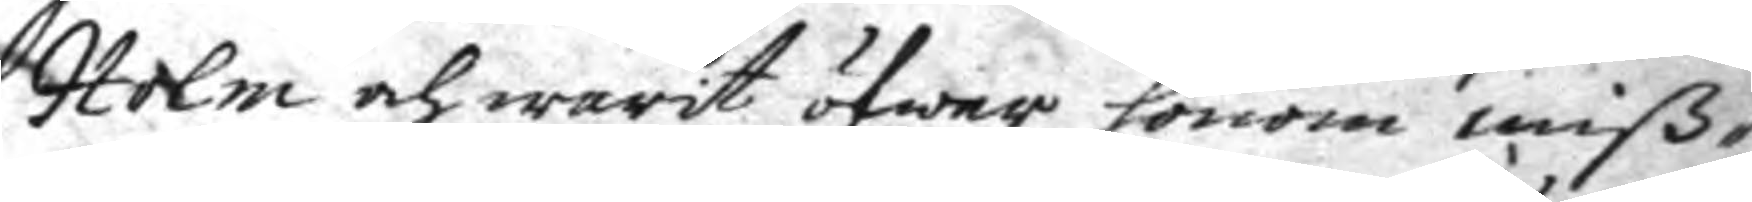Holm och warit öfwer honom miß¬
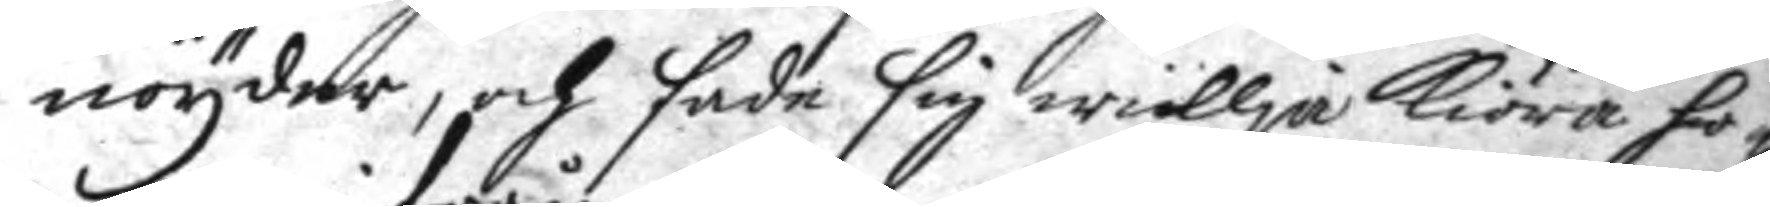nöyder, och sade sig willja kiöra ho¬
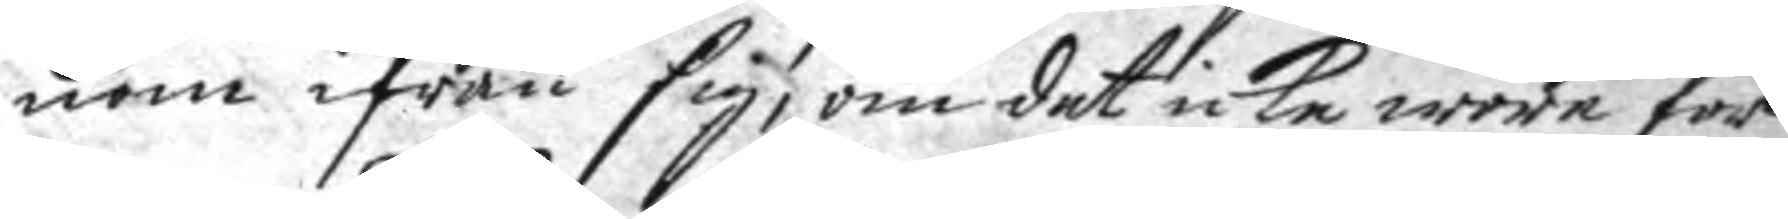nom ifrån sig, om det icke wore för
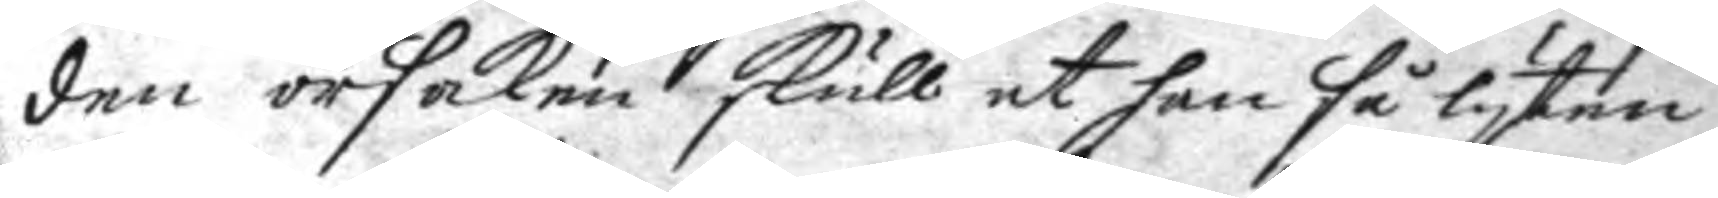den orsaken skull at han så lyten
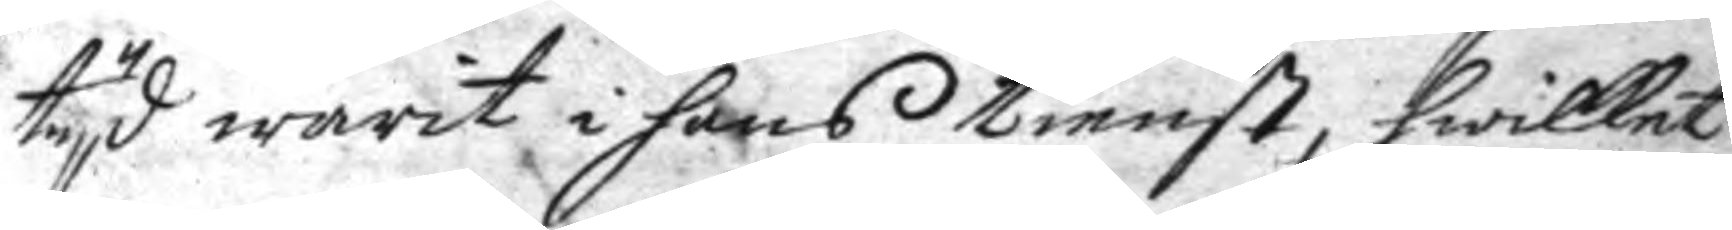tyd warit i hans tienst, hwilket
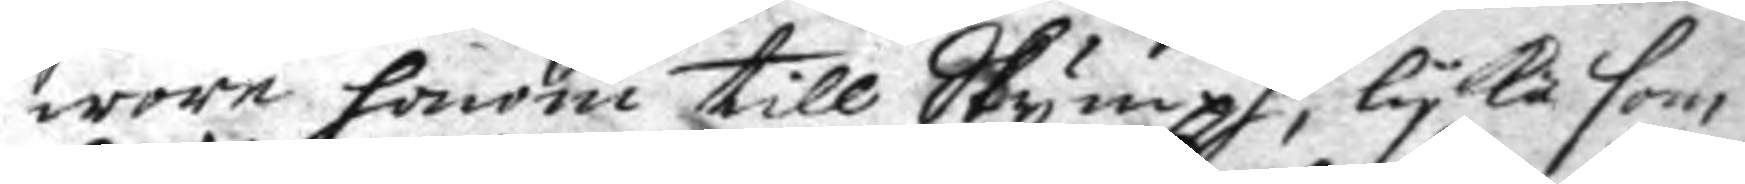wore honom till Skympf, lyka som
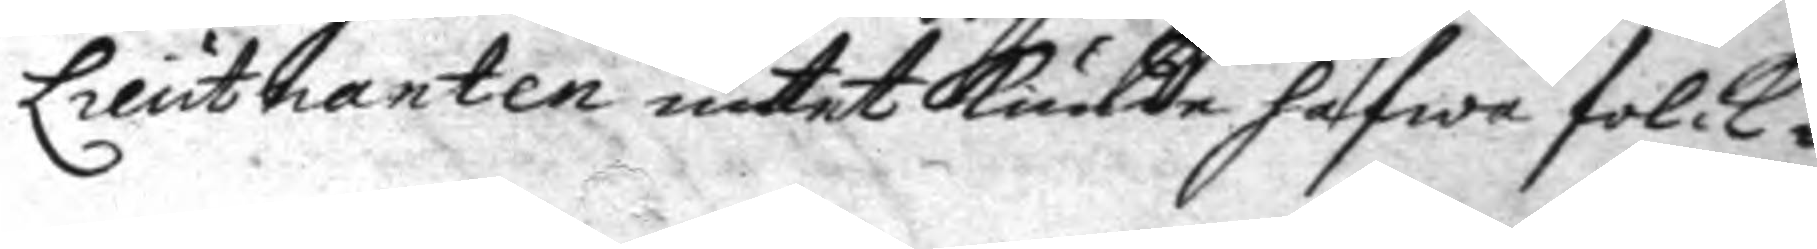Lieutnanten intet kunde hafwa folck i
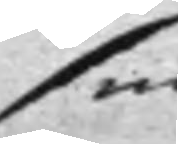sin
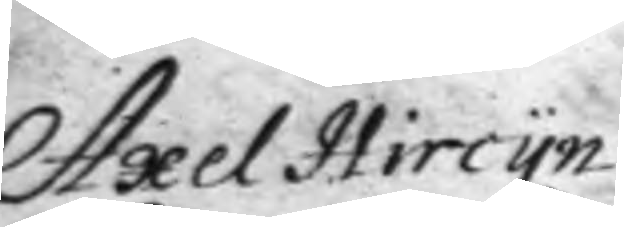Axel Hircyn.
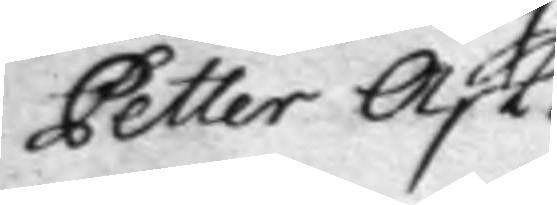Petter Ask.
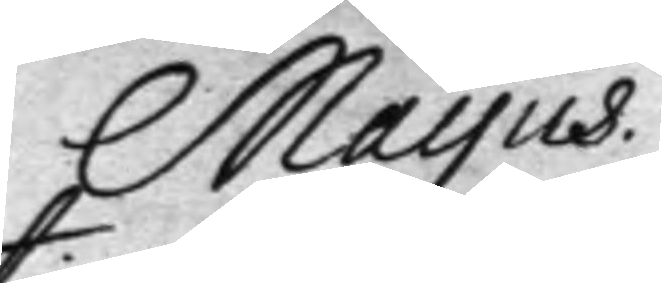Mayus.
